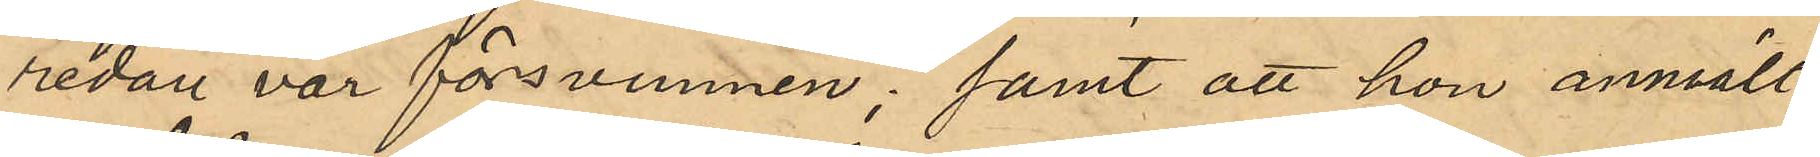redan var försvunnen; samt att hon anmält
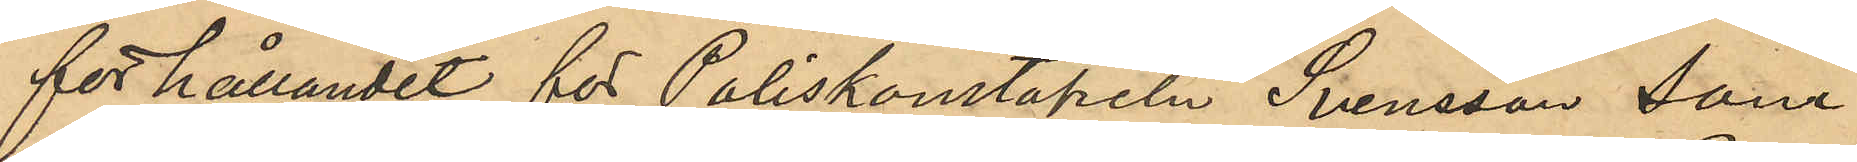förhållandet för Poliskonstapeln Svensson som
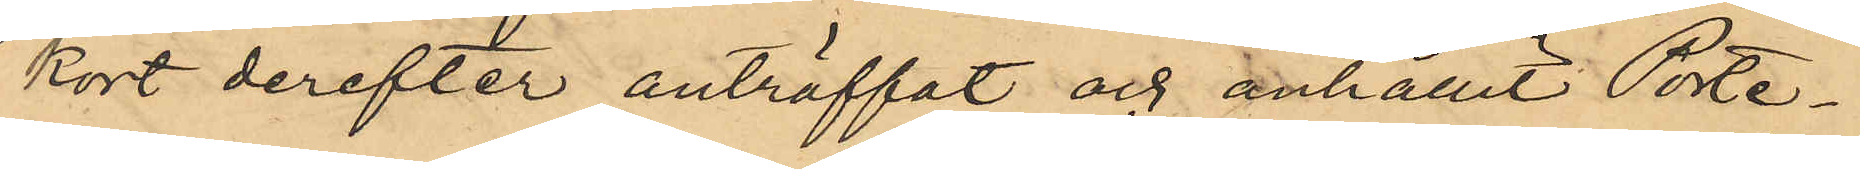kort derefter anträffat och anhållit Porte¬
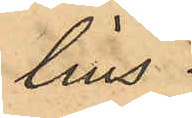lius.
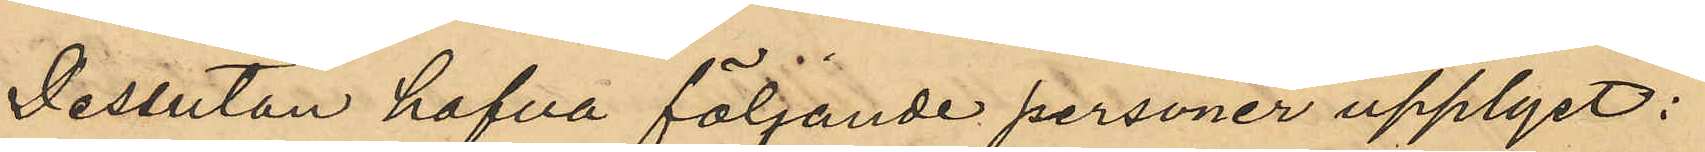Dessutan hafva följande personer upplyst:
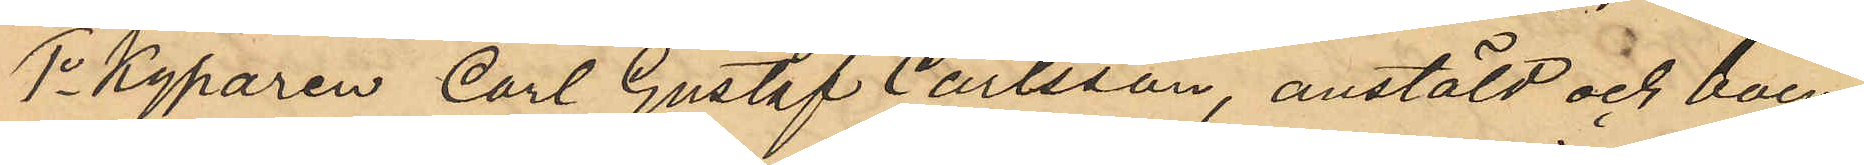1o Kyparen Carl Gustaf Carlsson, anstäld och boen¬
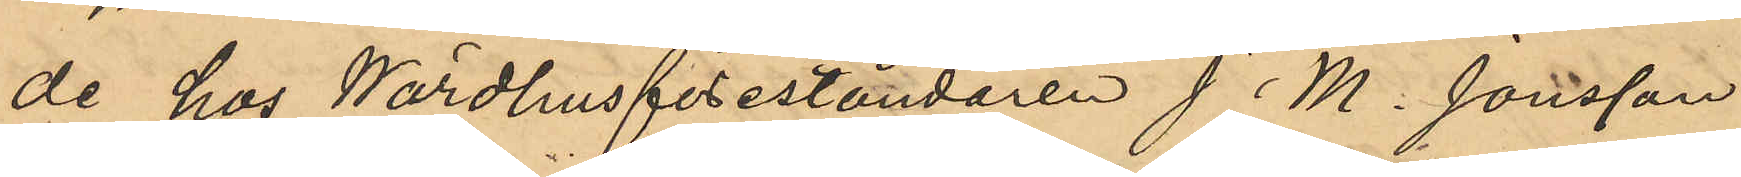de hos Wärdhusföreståndaren J. M. Jonsson
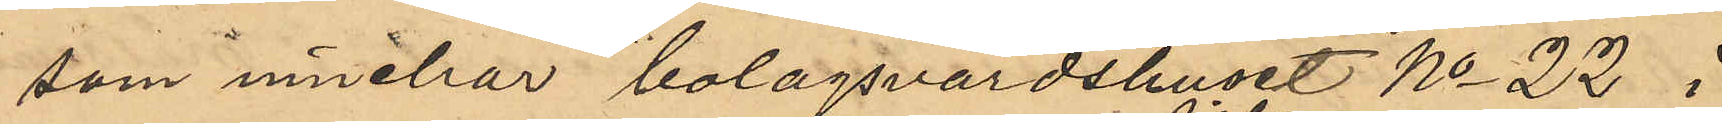som innehar bolagsvärdshuset No 22 i
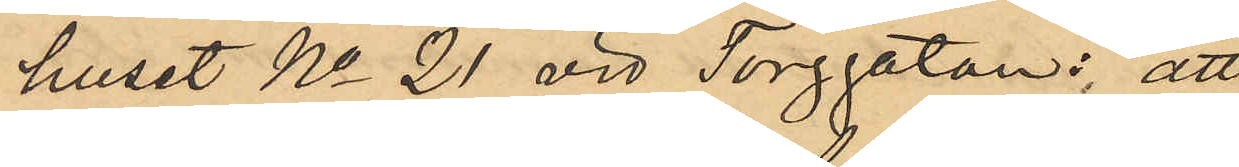huset No 21 vid Torggatan: att
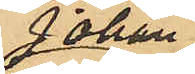Johan
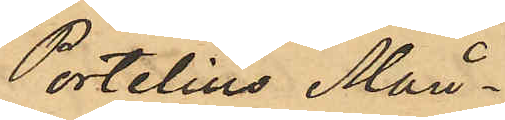Portelius Mån¬
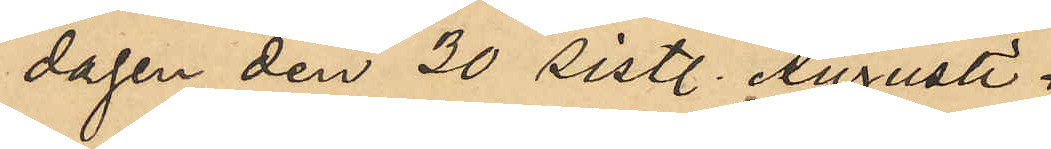dagen den 30 sistl. Augusti
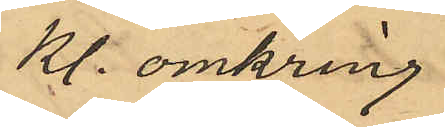Kl. omkring
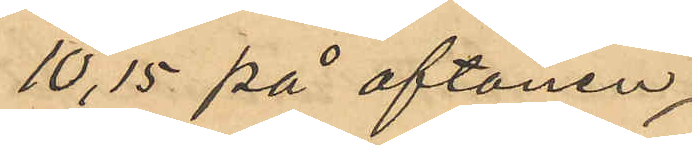10,15 på aftonen
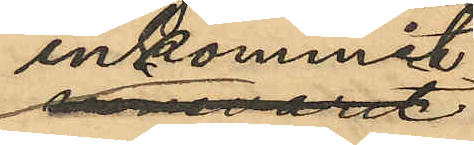inkommit
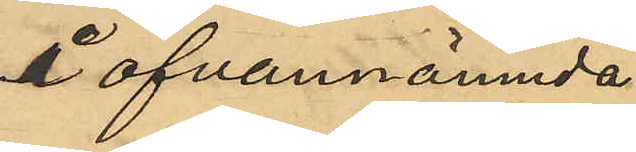i ofvannämnda
